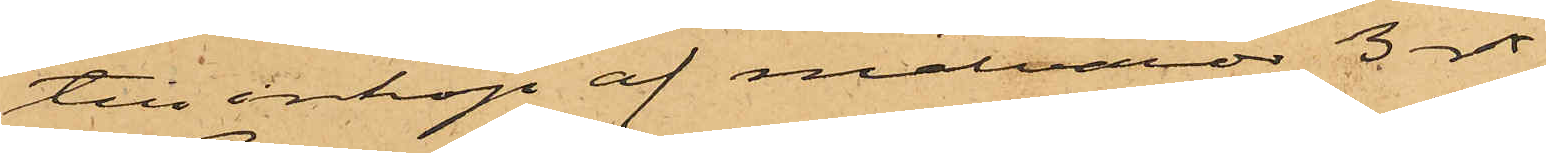till inköp af matvaror 3 rdr.
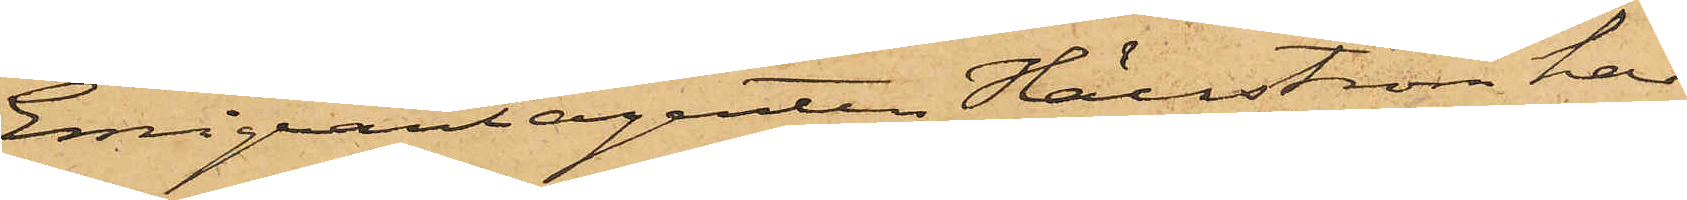Emigrantagenten Hällström har
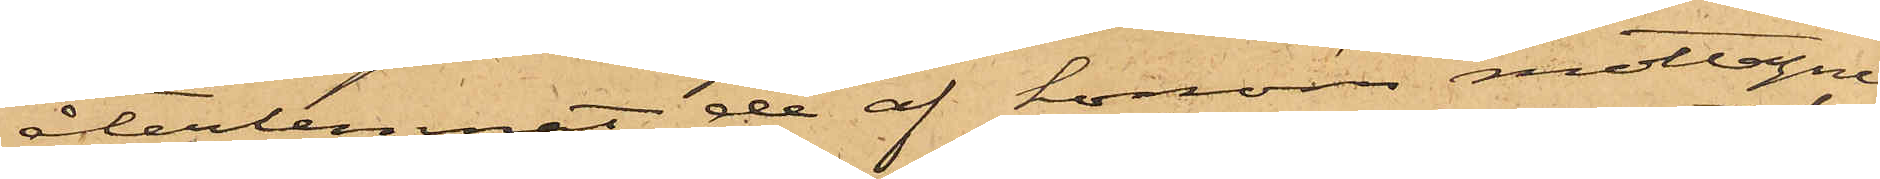återlemnat de af honom mottagne
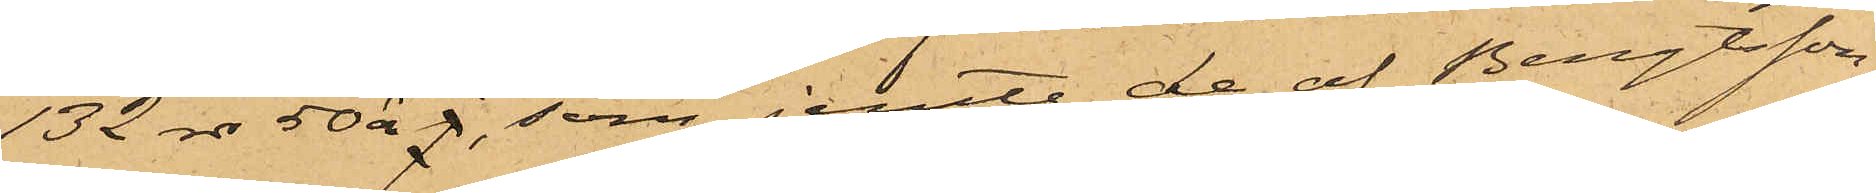132 rdr 50 öre  j, som jemte de af Bengtsson,
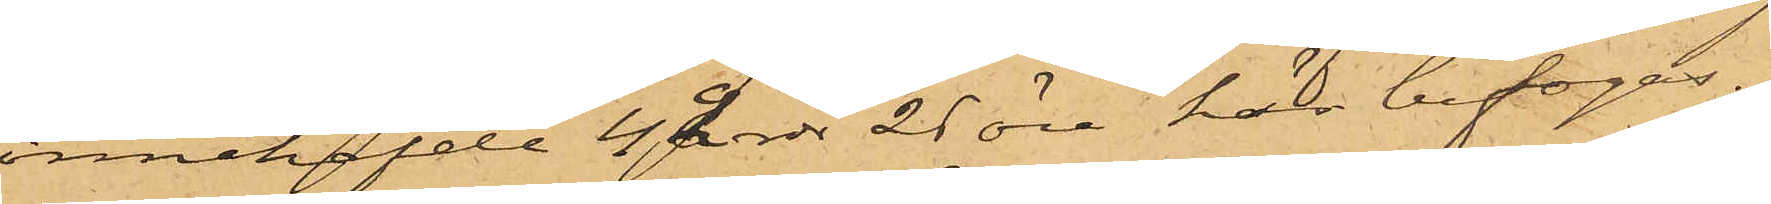innehafvde 42 rdr 25 öre, här bifogas.
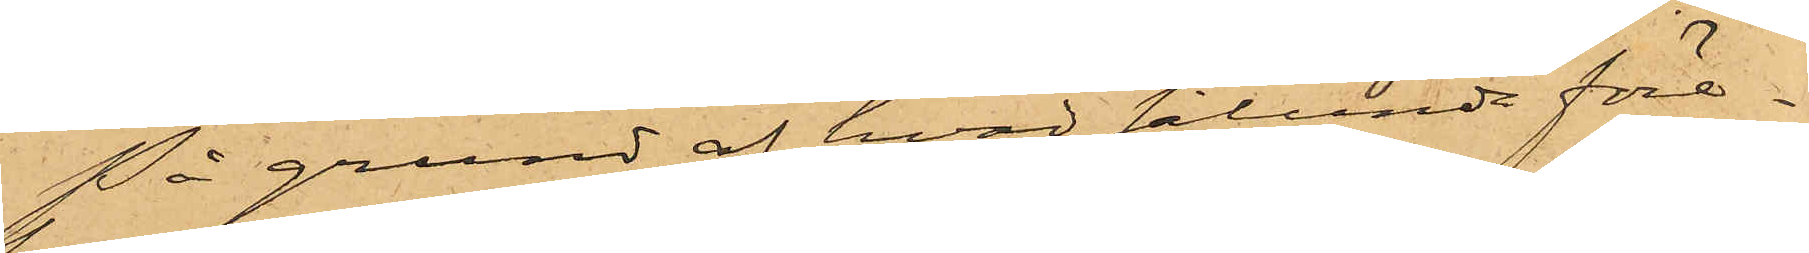På grund af hvad sålunda före¬
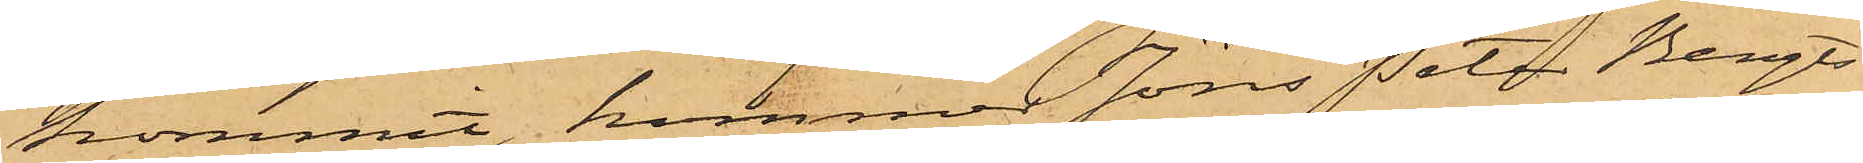kommit, kommer Jöns Peter Bengts¬
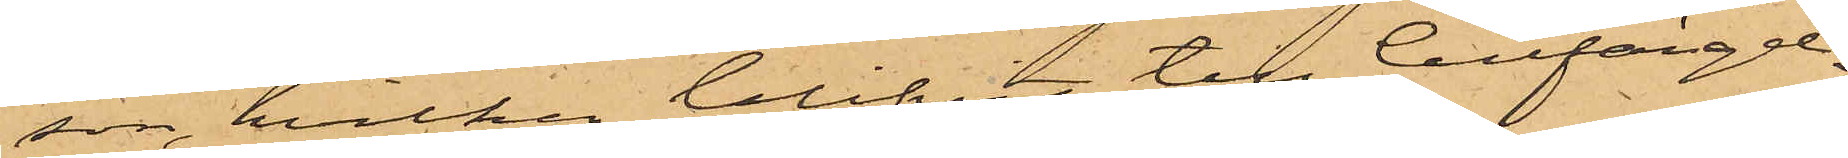son, hvilken blifvit till Cellfängel¬
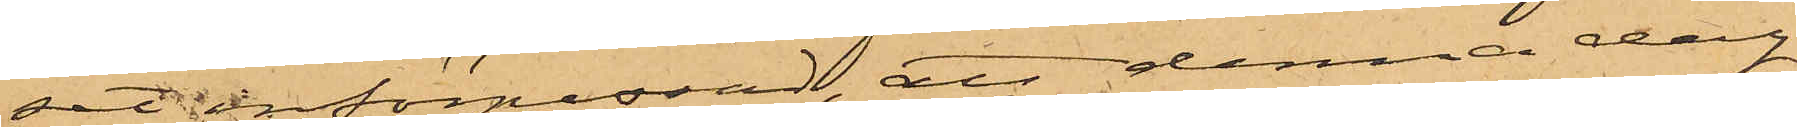set införpassad, att denna dag
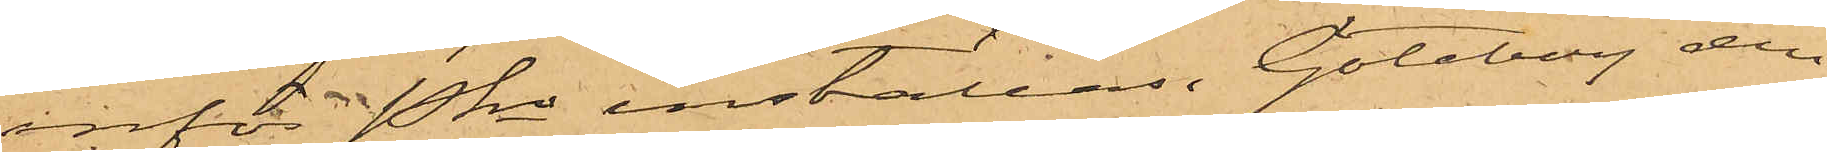inför Pkn inställas. Göteborg den
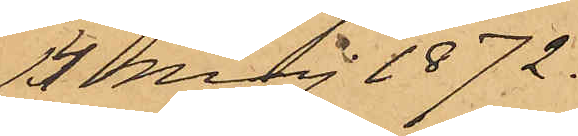14 Maj 1872.
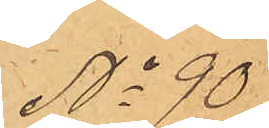No 90
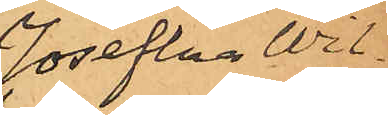Josefina Wil¬
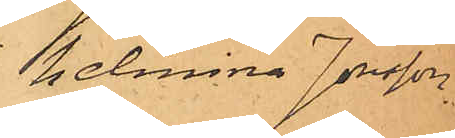helmina Jonsson.
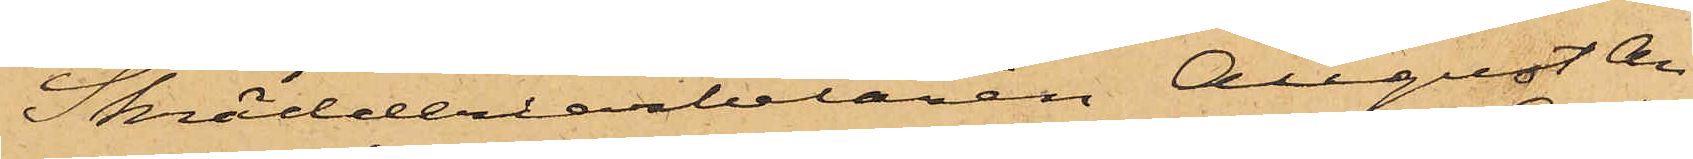Skrädderiarbetaren August An¬
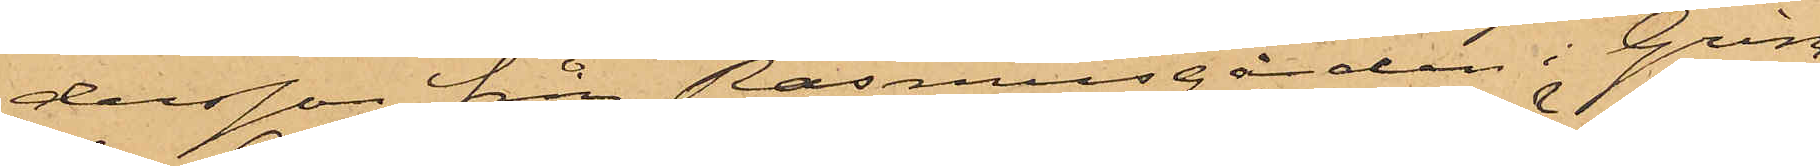dersson från Rasmusgården i Grim¬
